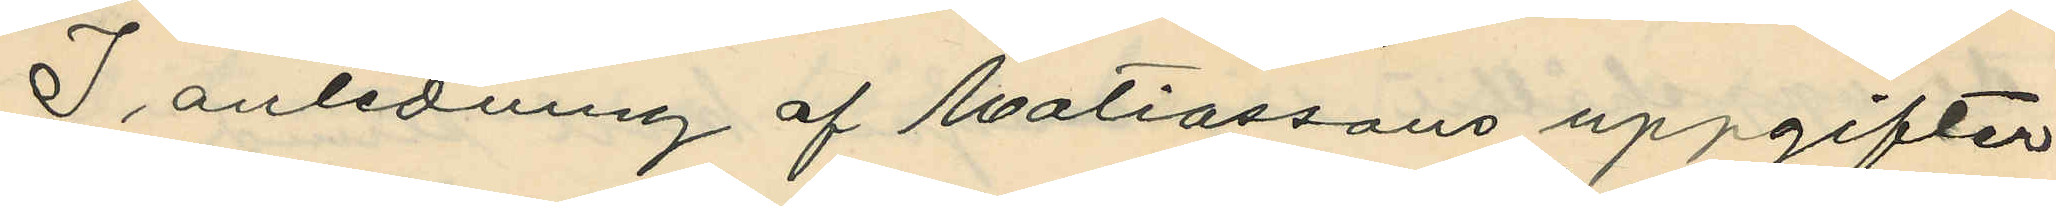I anledning af Matiassons uppgifter
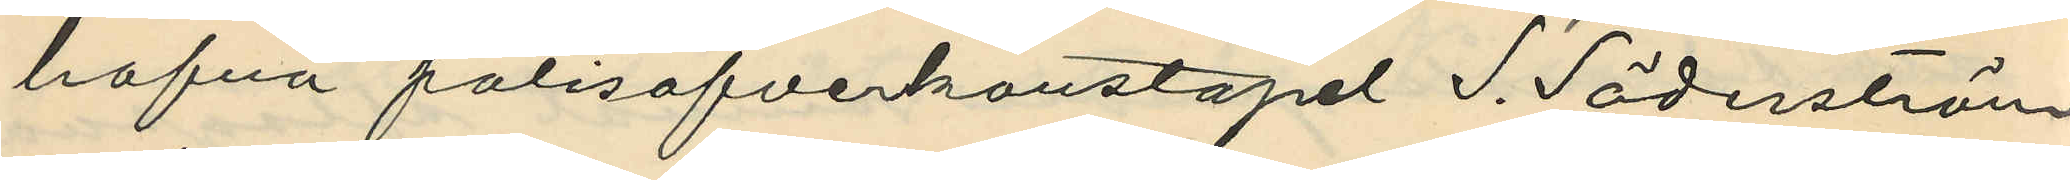hafva polisofverkonstapel S. Söderström
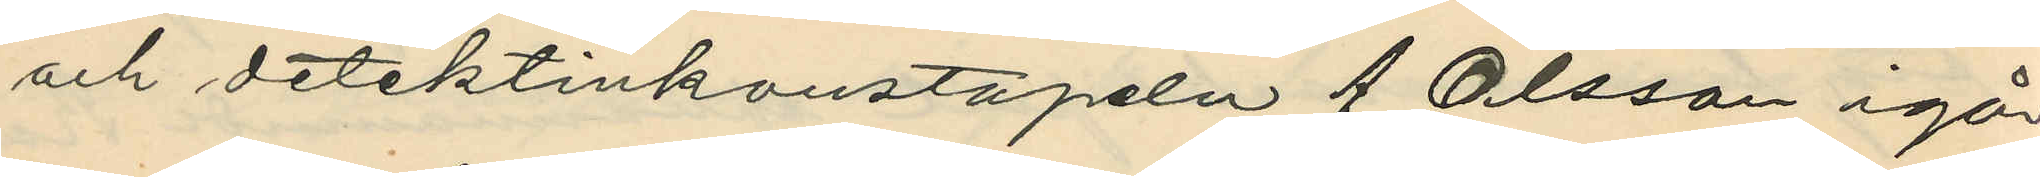och detektivkonstapeln A Olsson igår
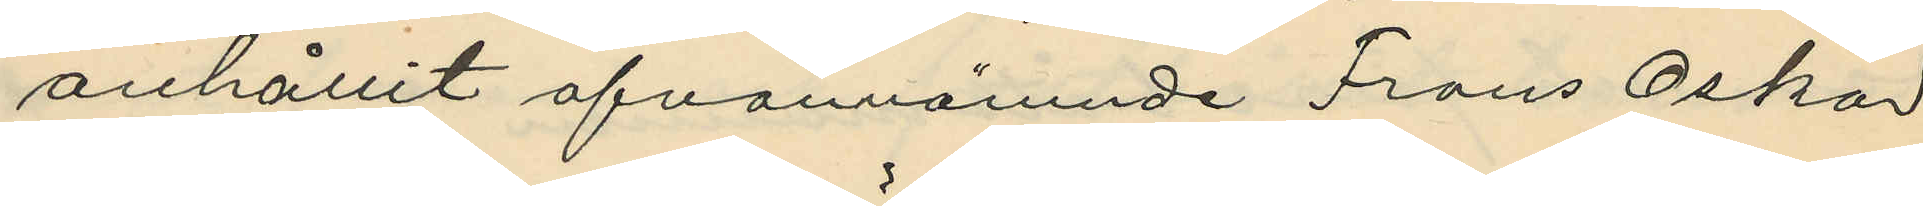anhållit ofvannämnde Frans Oskar
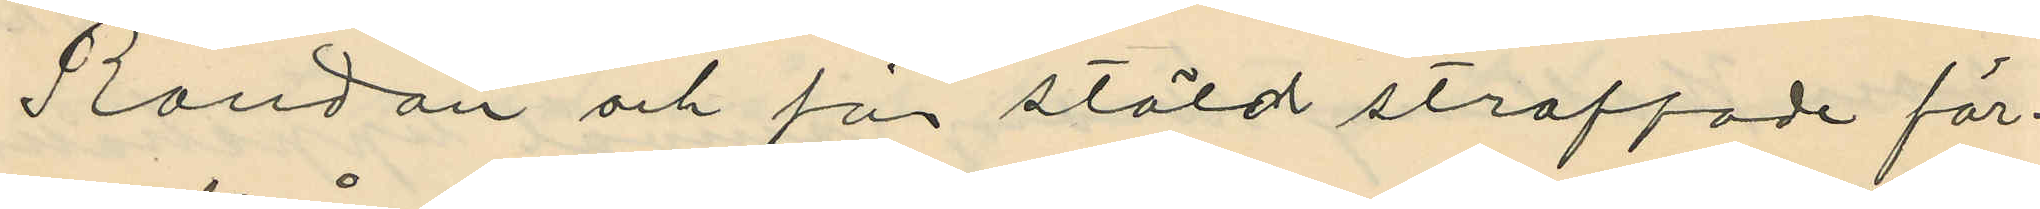Randau och för stöld straffade för¬
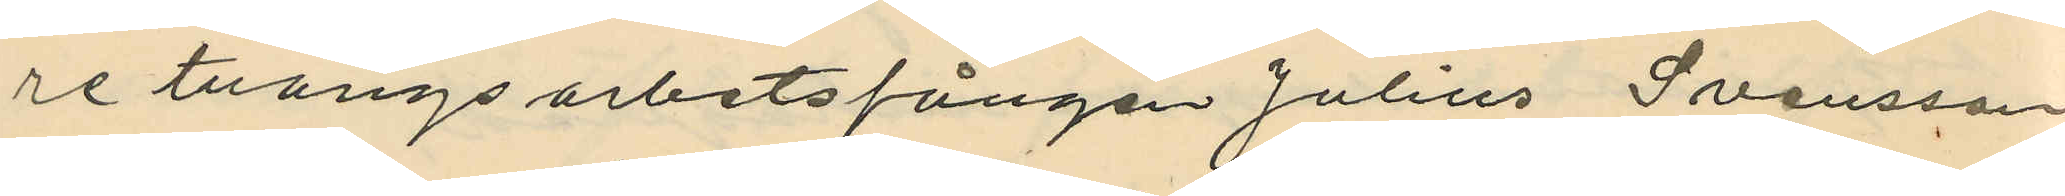re tvångsarbetsfången Julius Svensson
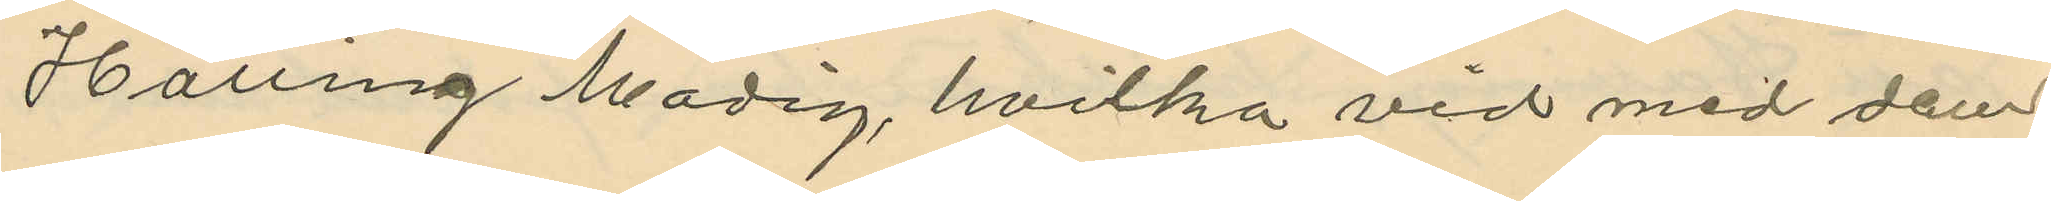Halling Modig, hvilka vid med dem
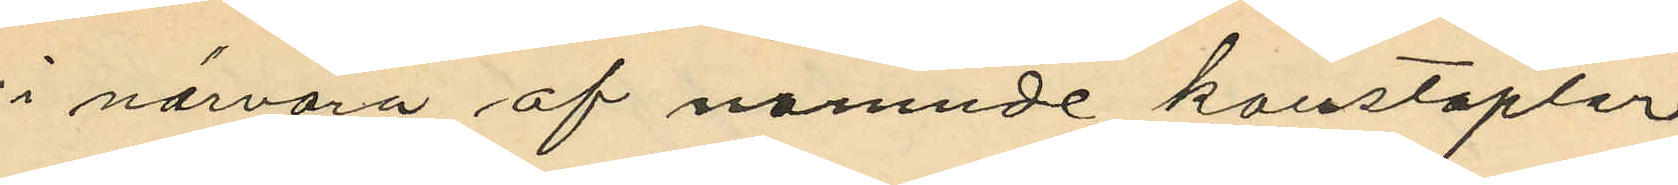i närvaro af namnde konstaplar
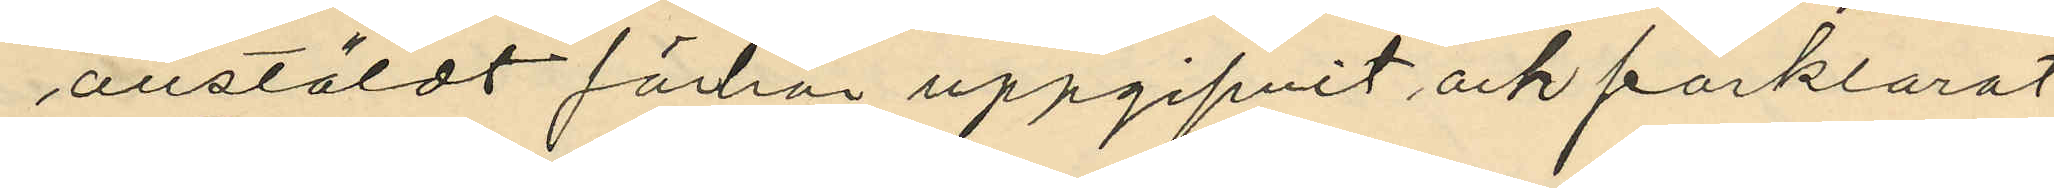anstäldt förhör uppgifvit och förklarat:
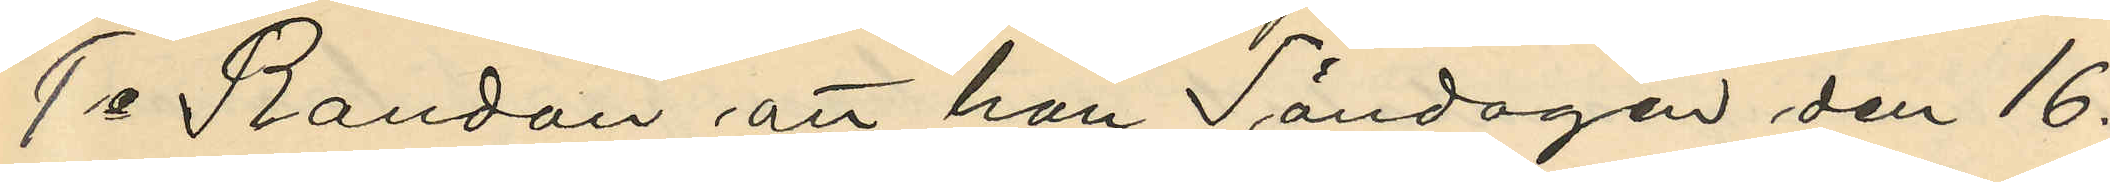1o Randau att han Söndagen den 16.
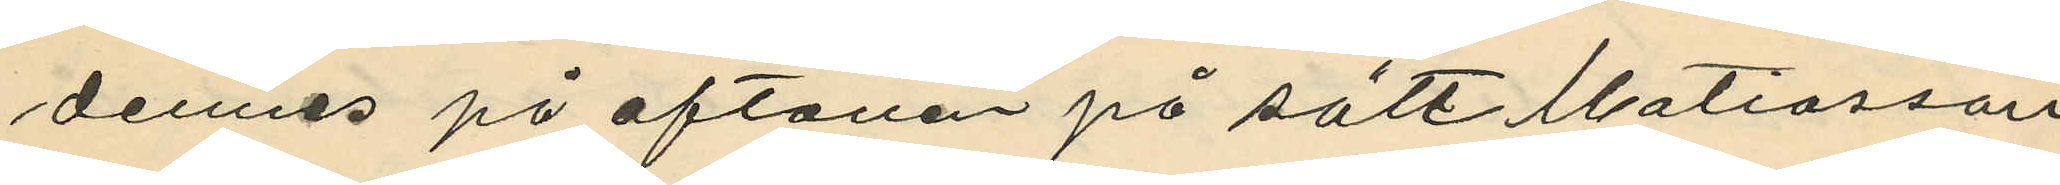dennes på aftonen på sätt Matiasson
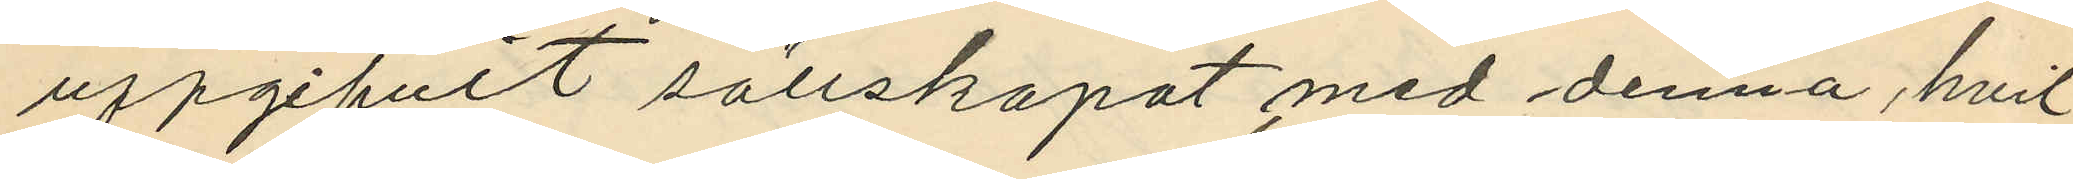uppgifvit sällskapat med denna, hvil¬
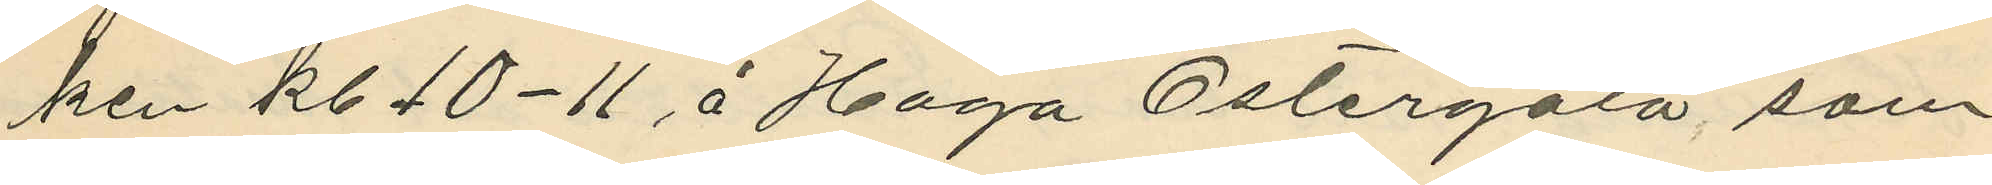ken kl. 10-11 å Haga Östergata sam¬
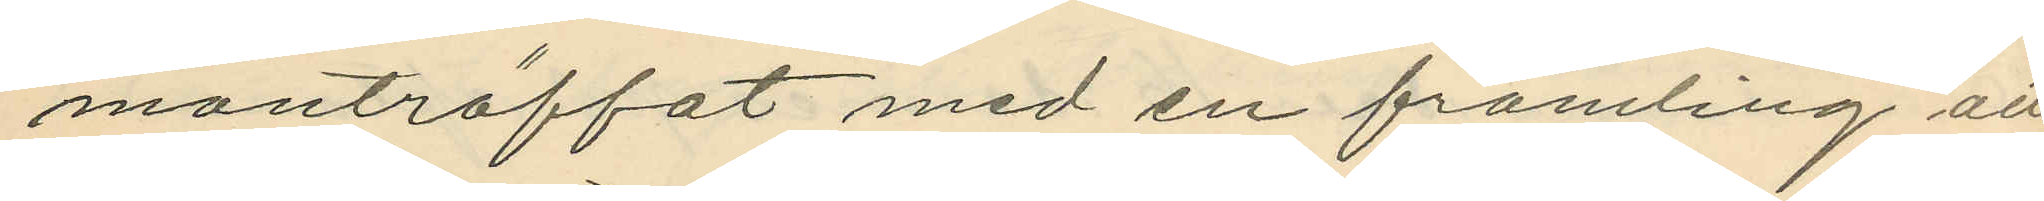manträffat med en främling att
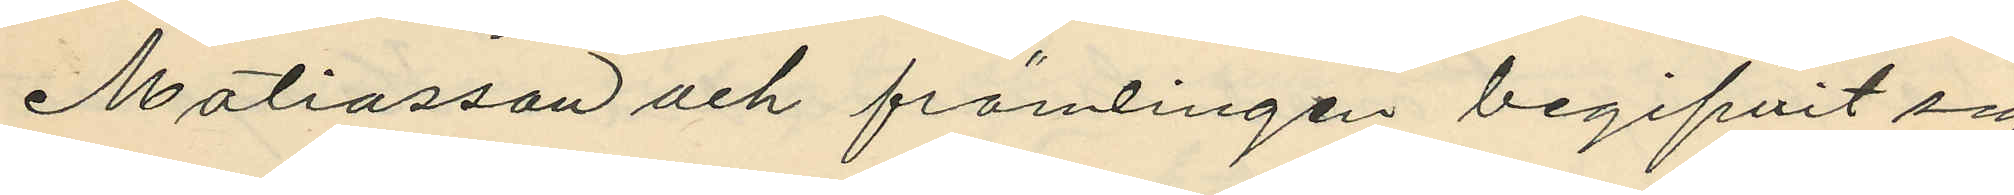Matiasson och främlingen begifvit sig
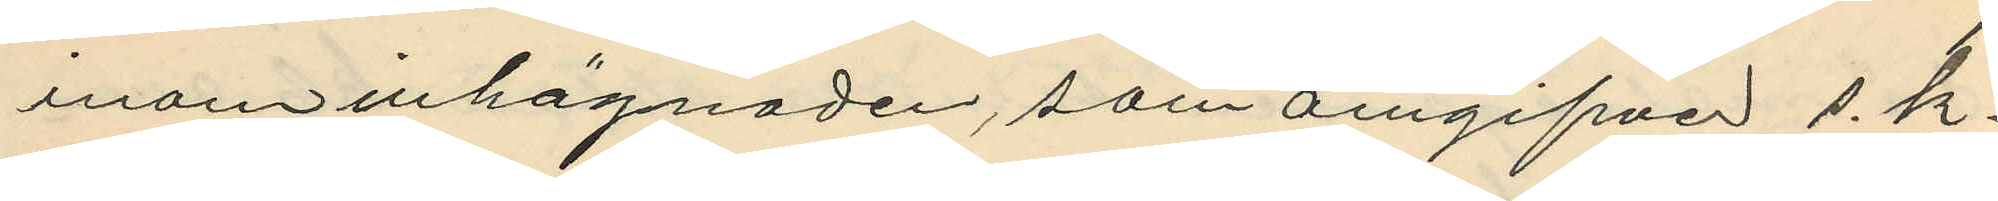inom inhägnaden, som omgifver s.k.
